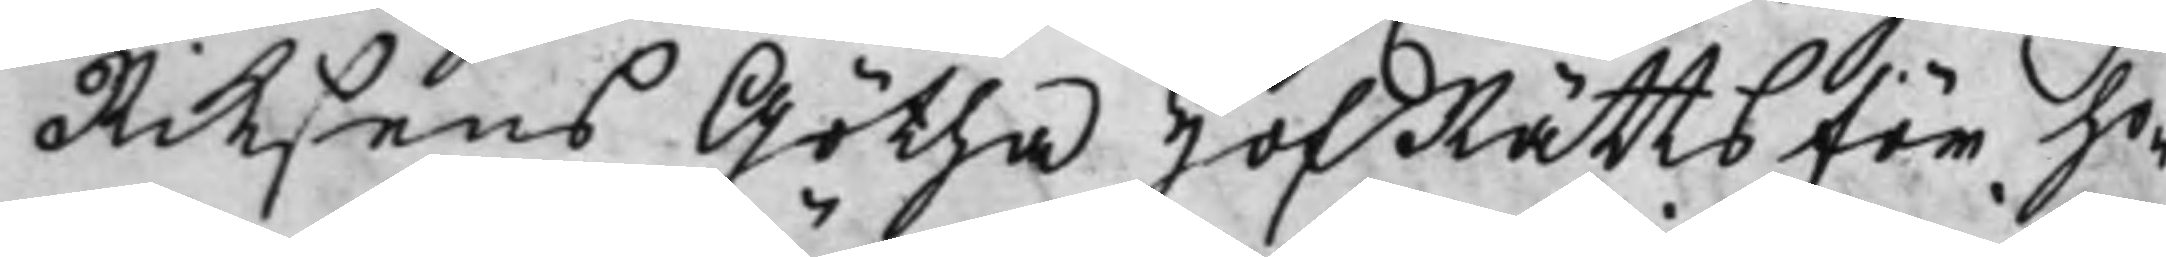Riksens Götha HofRätts för ho¬
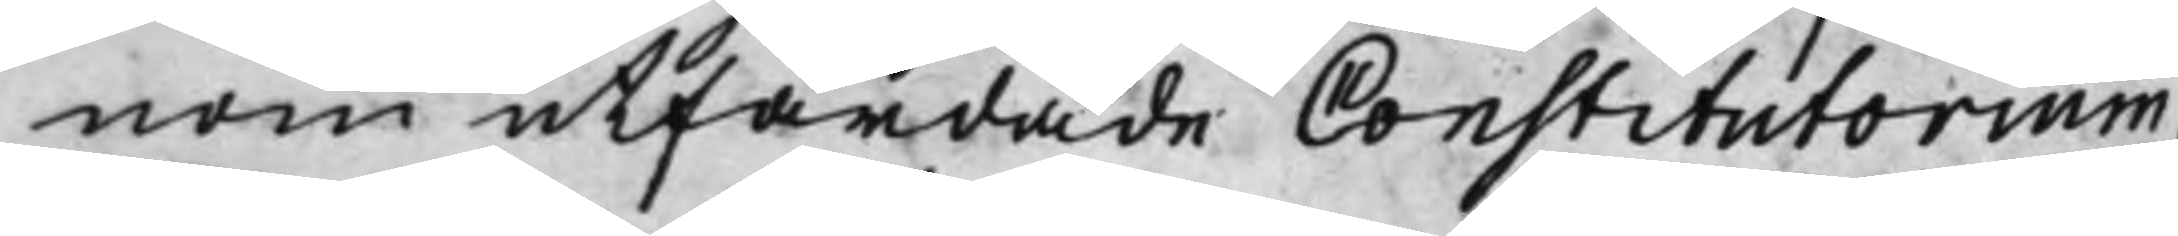nom utfärdade Constitutorium,
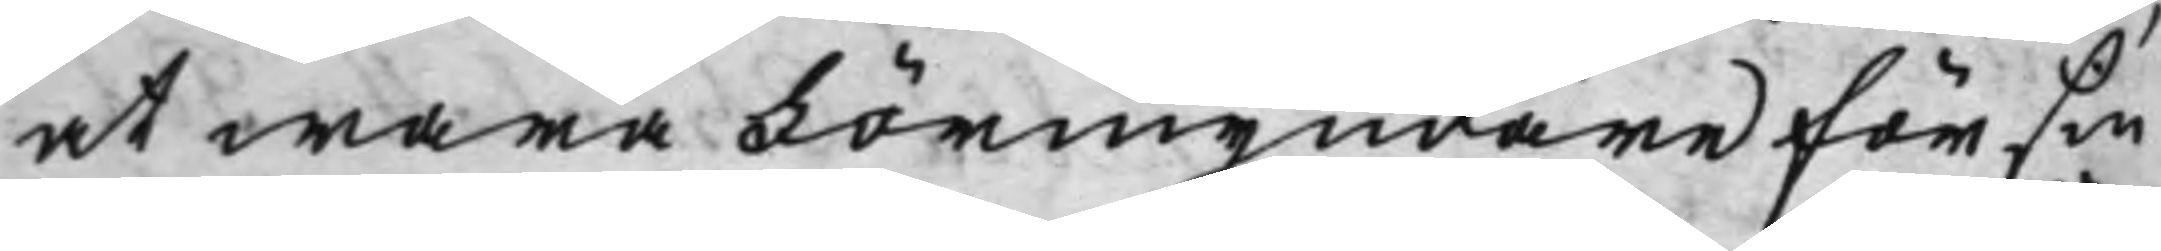at wara Förmyndare för sin
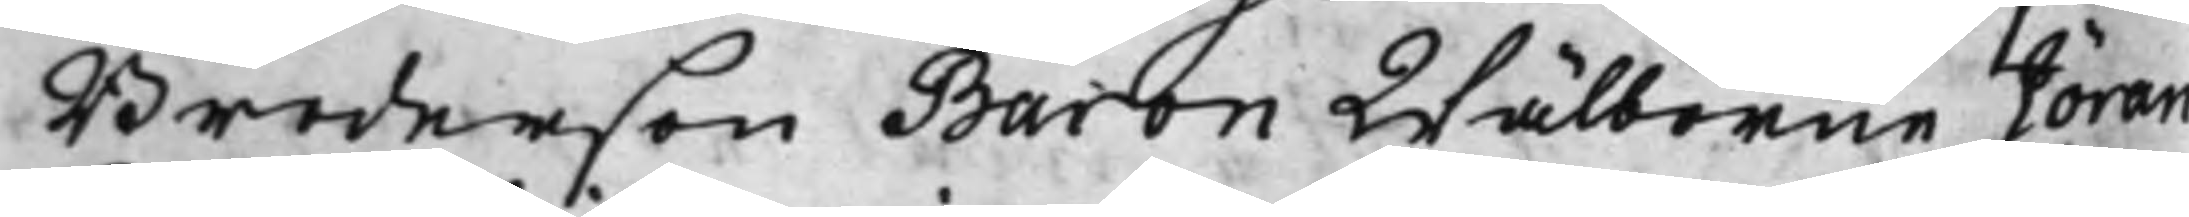Broderson Baron Wälborne Jöran
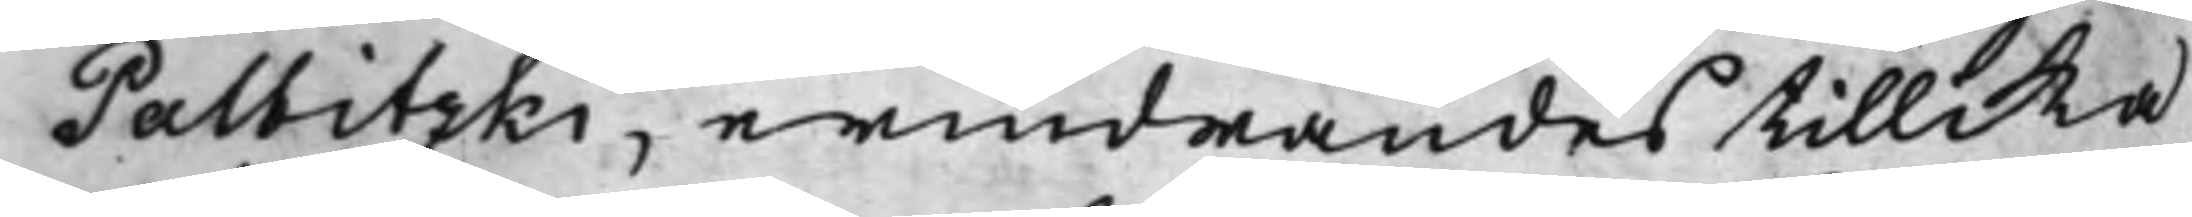Palbitzki, erindrandes tillika
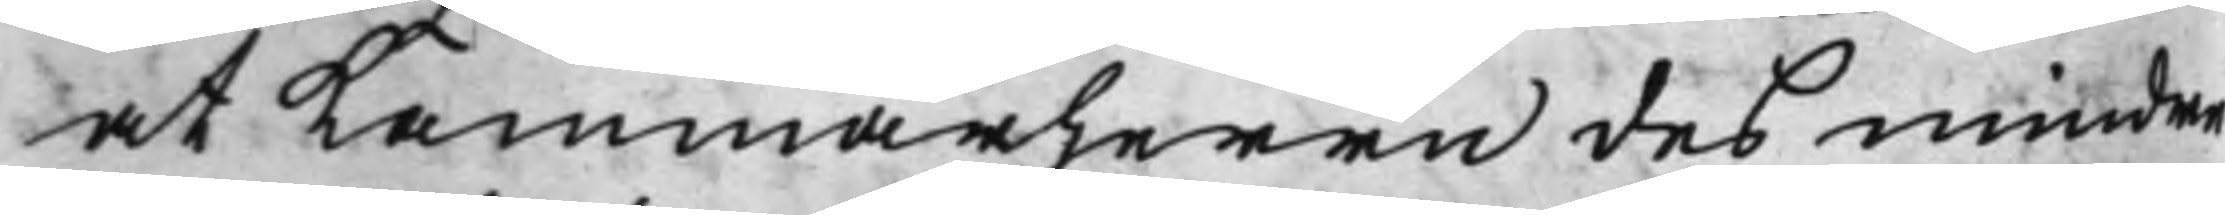at Kammarherrn des mindre
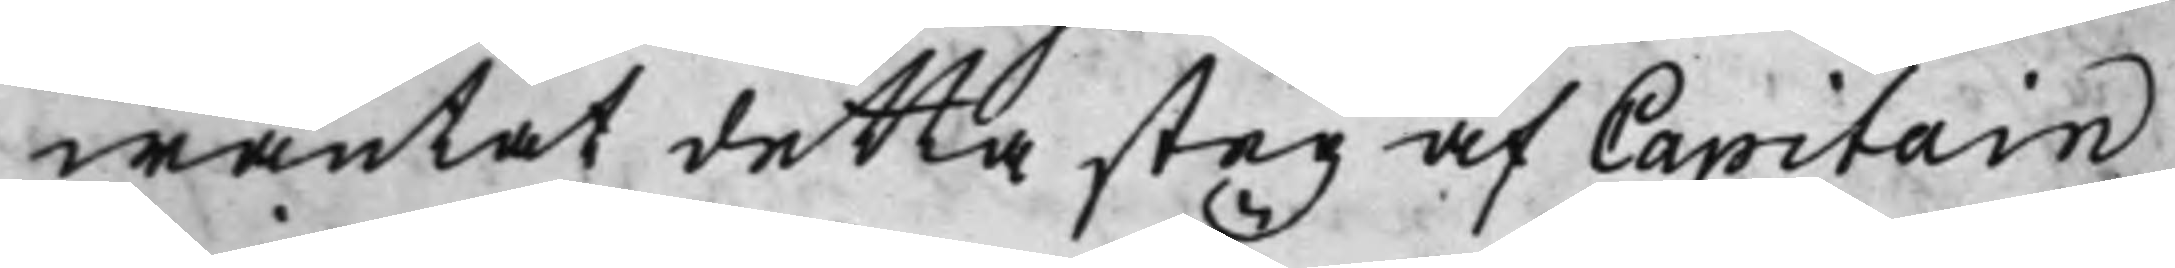wäntat detta steg af Capitain
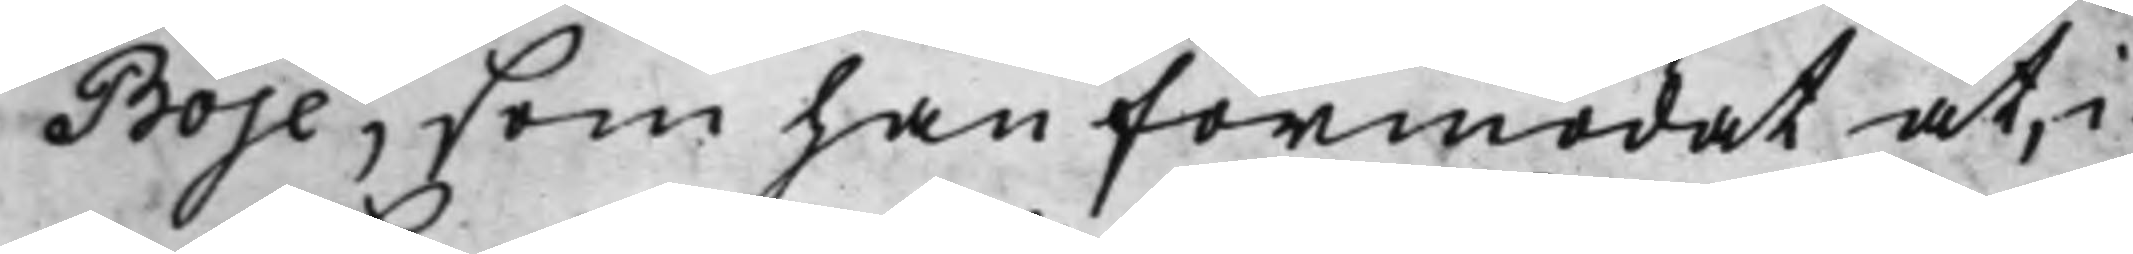Boje, som han förmodat at, i
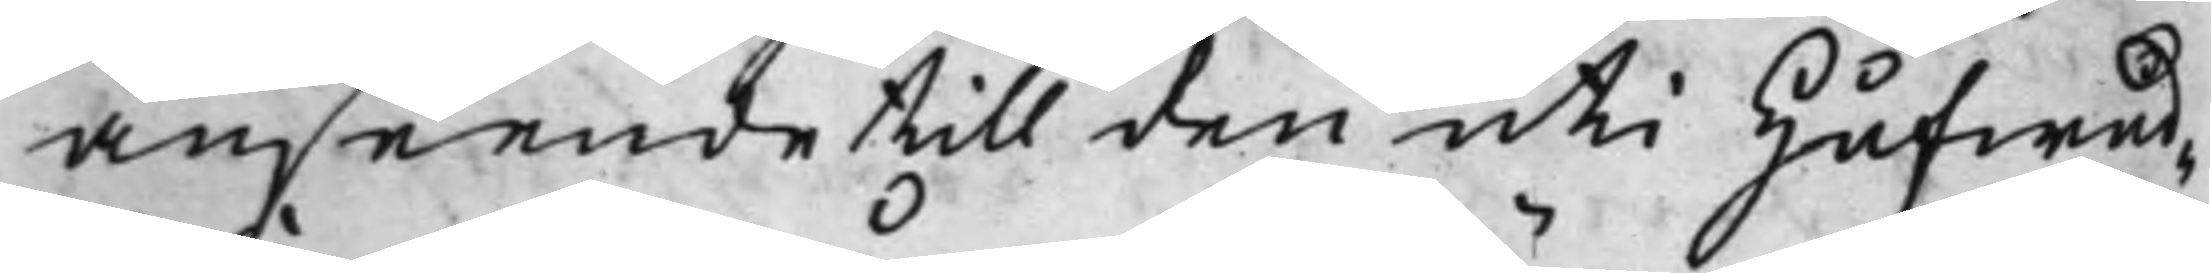anseende till den uti Hufwud¬
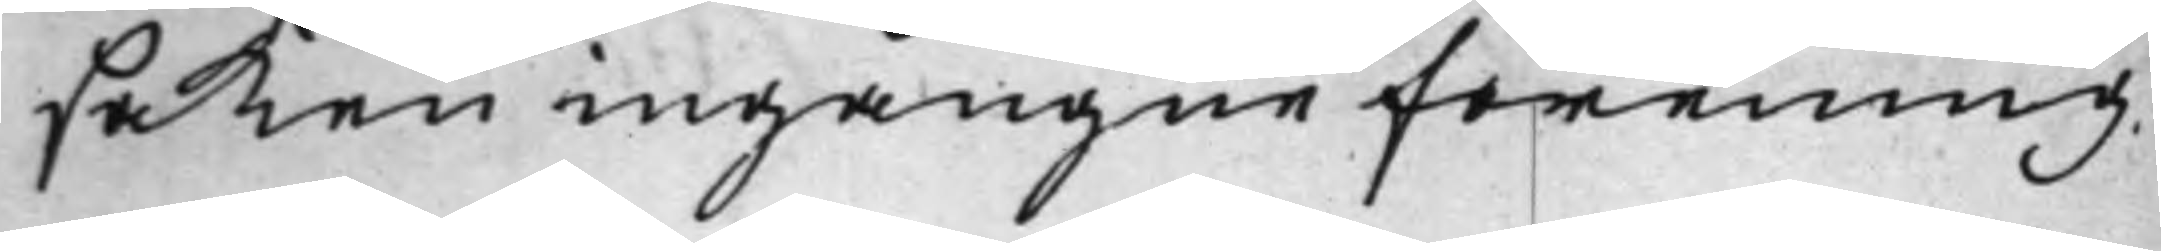saken ingångne förening,
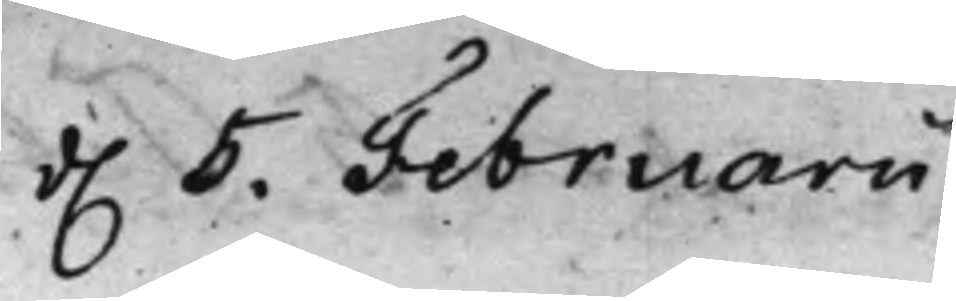d. 5. Februarii
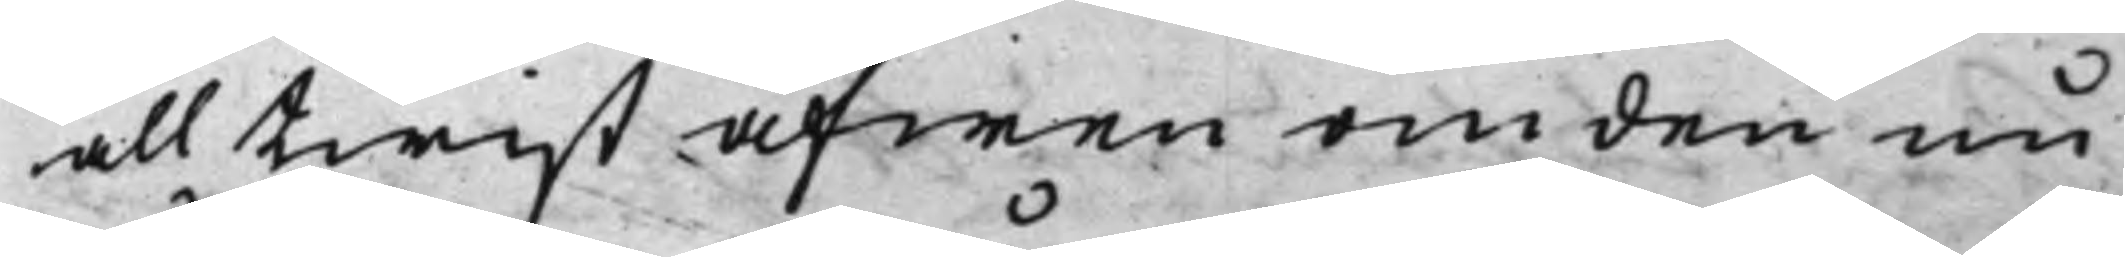all twist äfwen om den nu
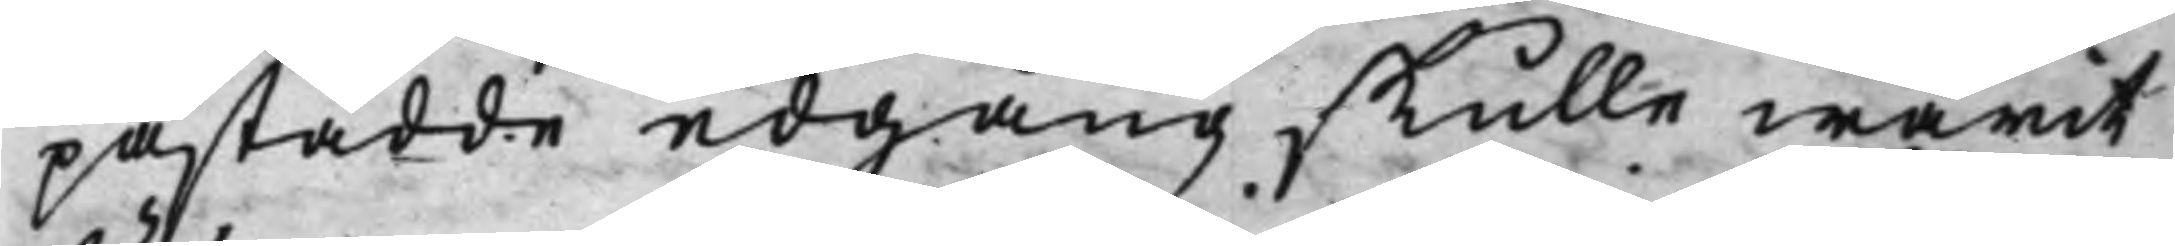påstådde edgång skulle warit
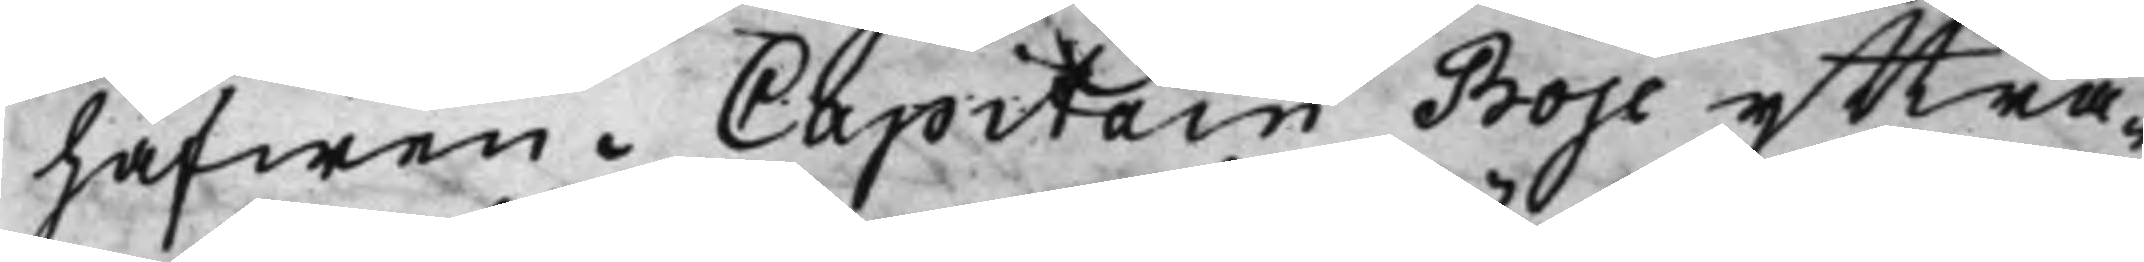häfwen. Capitain Boje yttra¬
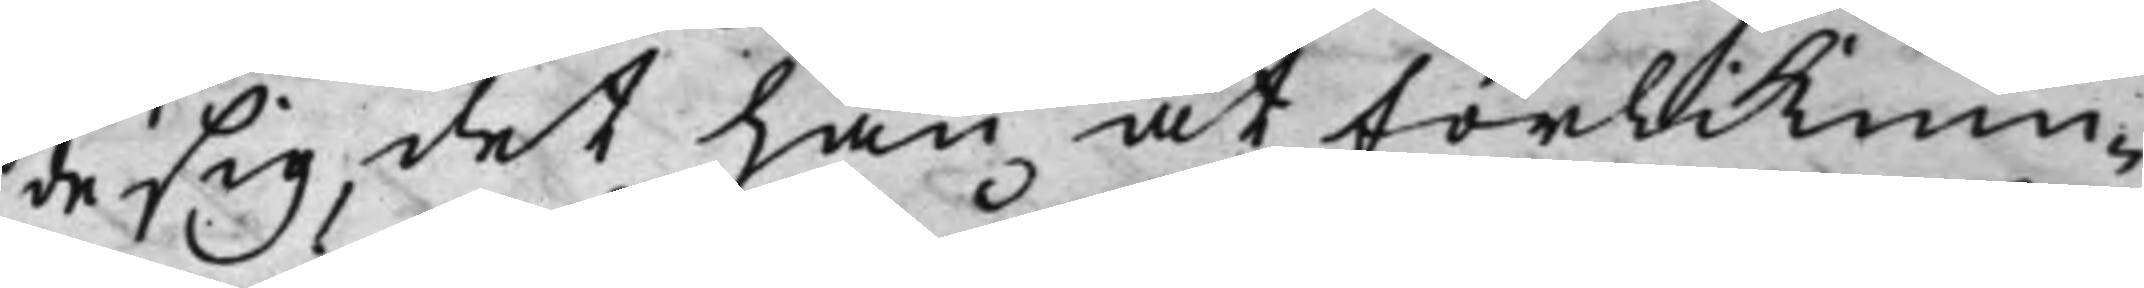de sig, det han åt förliknin¬
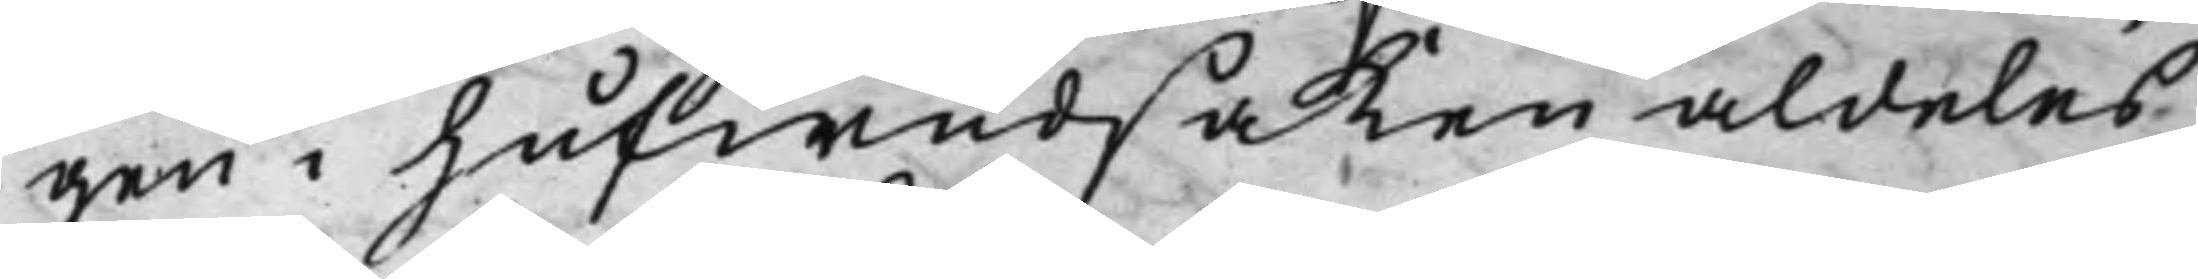gen i hufwudsaken aldeles
